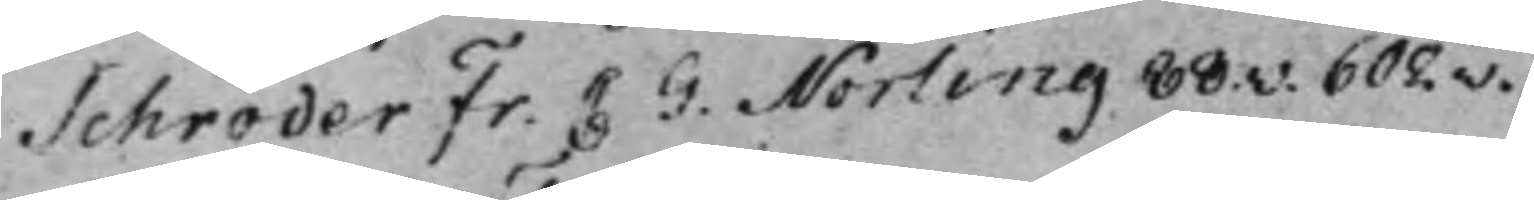Schröder Fr. C G. Norling 88.v. 602.v.
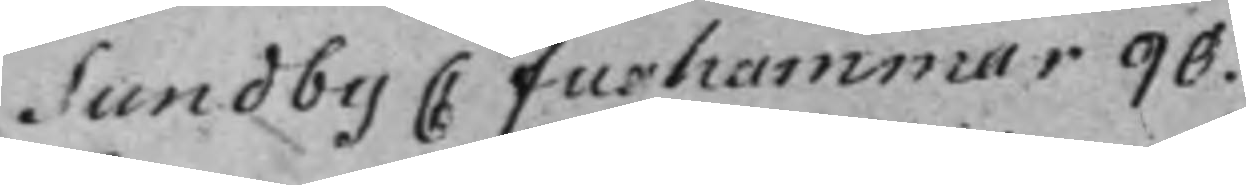Sundby C Fughammar 90.
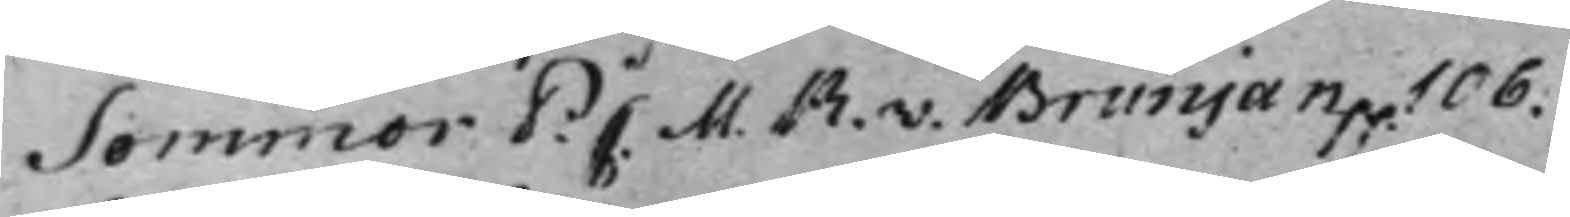Sommor P C M.R. v. Brunjan p.p.106.
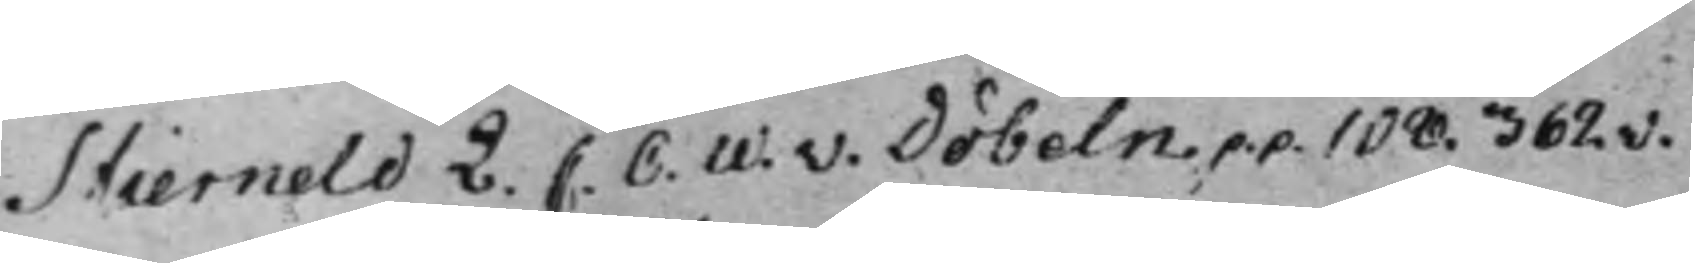Stierneld L. C. C. W. v. Döbeln. 108. 362.v.
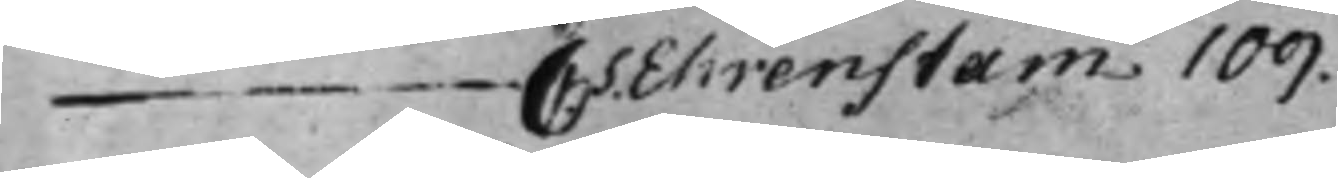— C S. Ehrenstam 109.
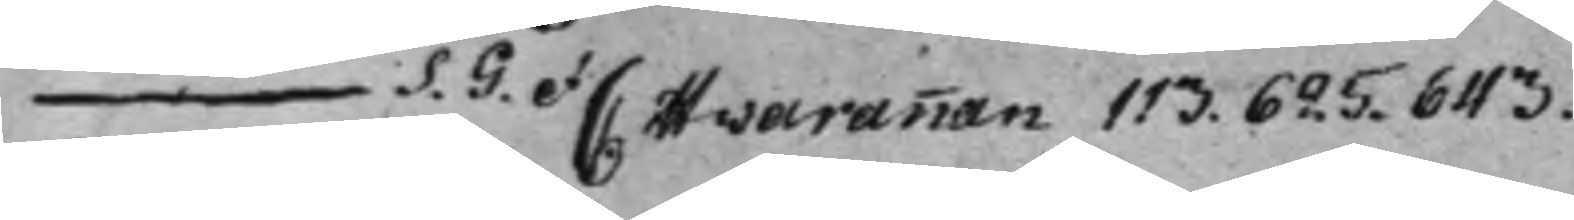— S. G. et C: Hvarannan 113. 625. 643.
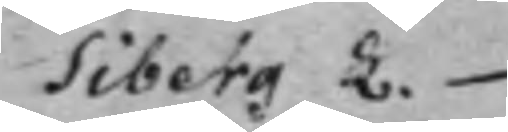Siberg L.
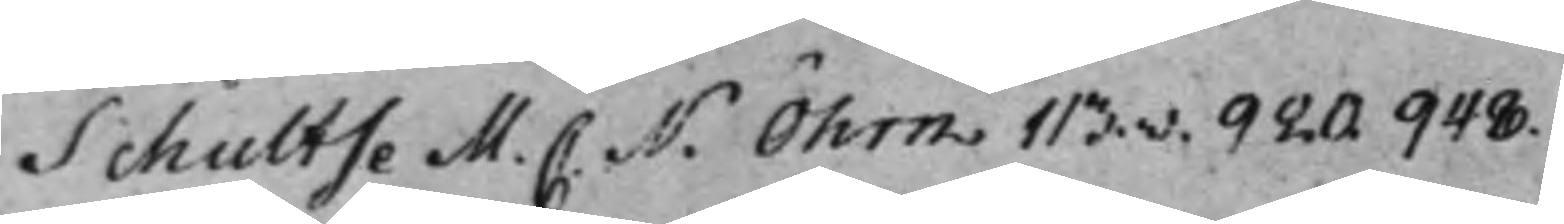Schultse M. C. N. Öhrn 113.v. 920. 948.
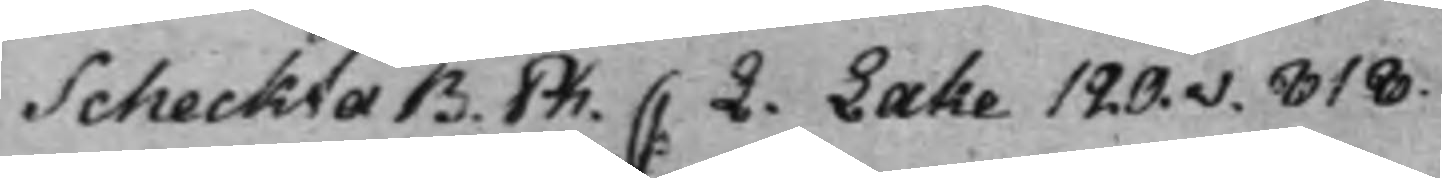Scheckta B. Ph. C L. Lake 120.v. 818.
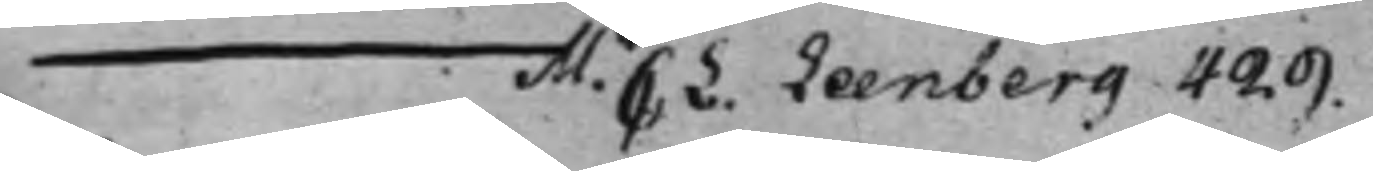— M. C: L: Leenberg 429.
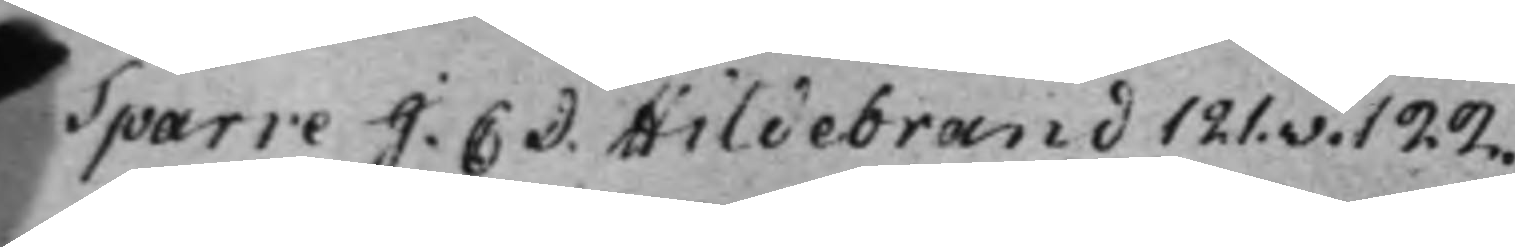Sparre J. C: D. Hildebrand 121.v. 122.
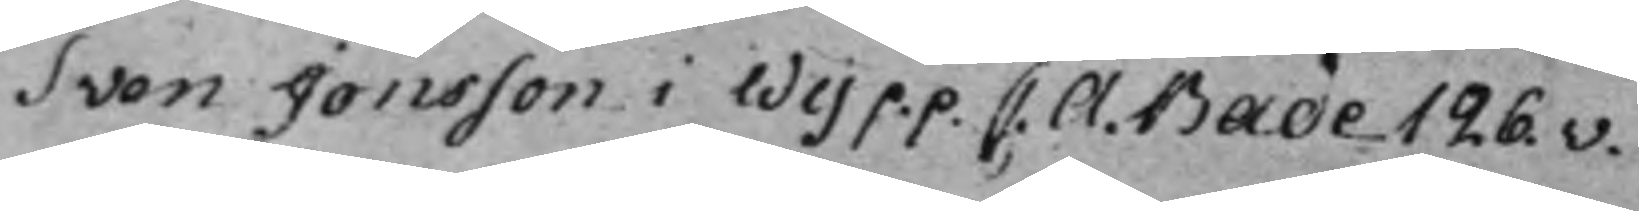Sven Jonsson i Wij p.p. C. A. Bade 126.v.
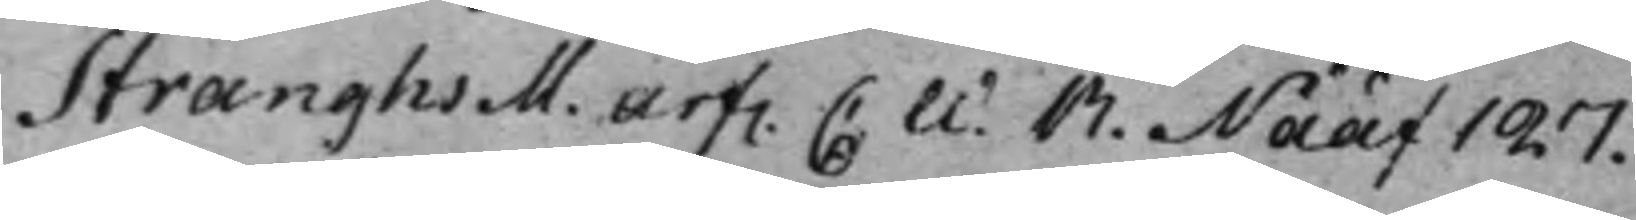Stranghs M. arf. C. W. R. Nääf 127.
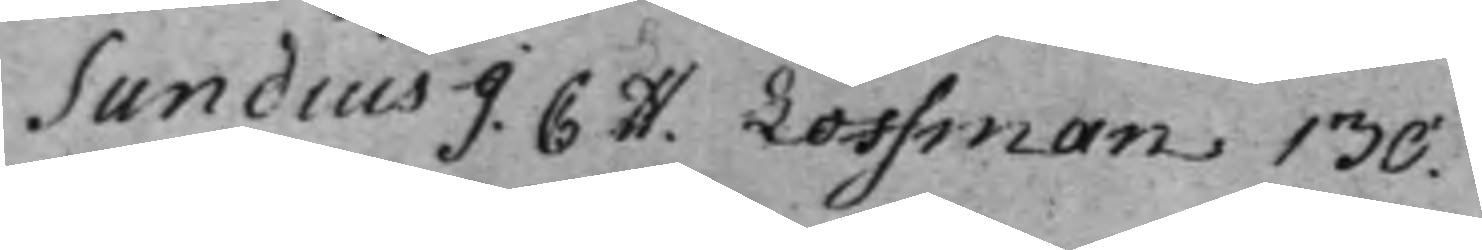Sundius J. C H. Loffman 130.
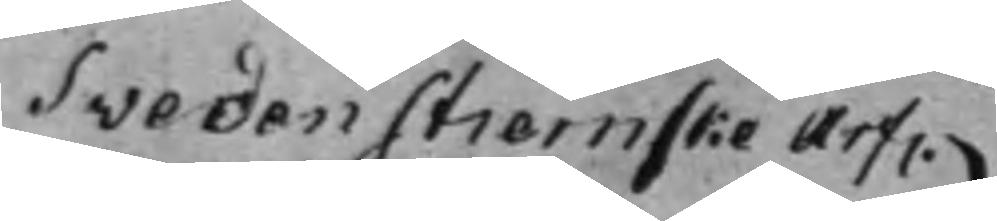SvedenStiernske Arf.
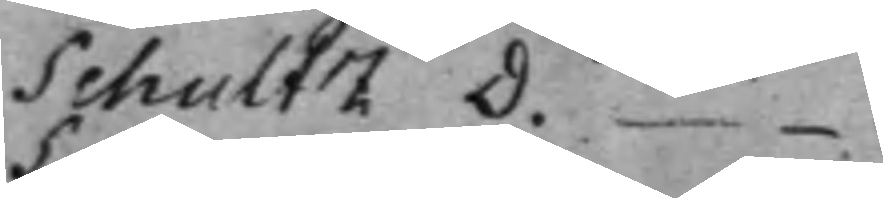Schultz D. —
